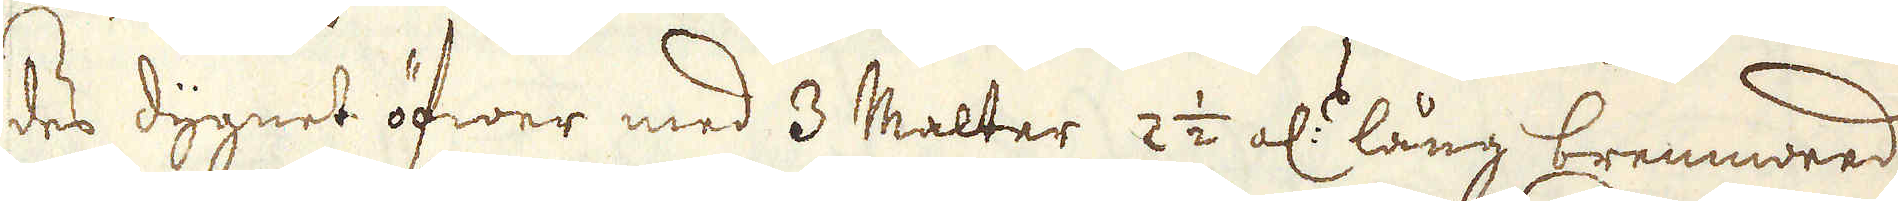des dygnet öfwer med 3 Malter 2 1/2 al:s lång brennwed
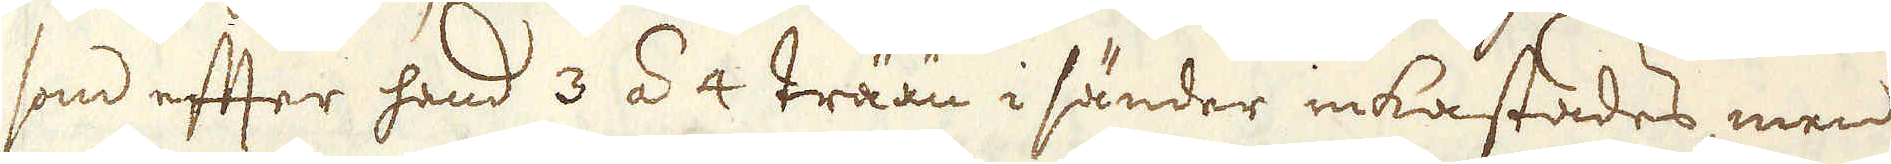som effter hand 3 á 4 trään i sänder inkastades, men
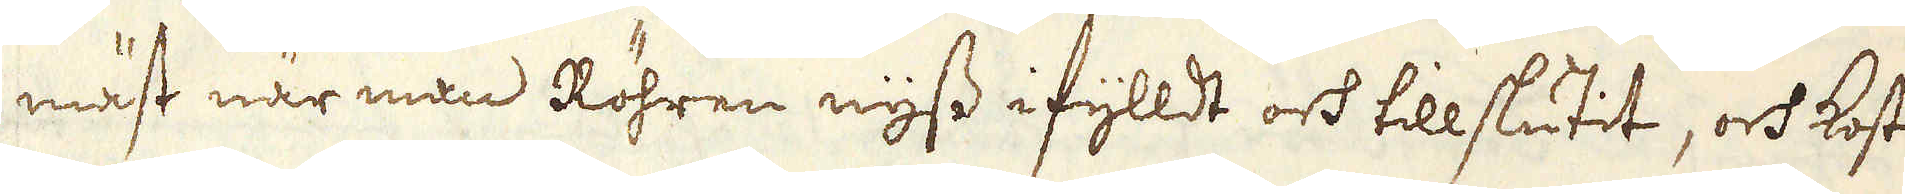mäst när man Röhren nyss ifylldt och tillslutit, och kosta-
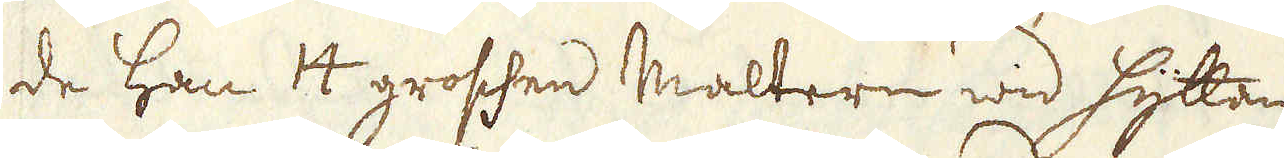de han 14 groschen Maltern wid hyttan.
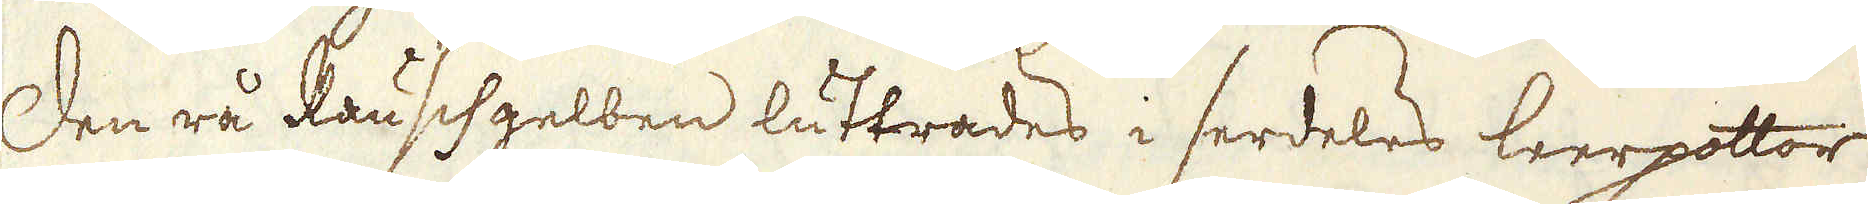Den rå Rauschgelben luttrades i serdeles leerpottor
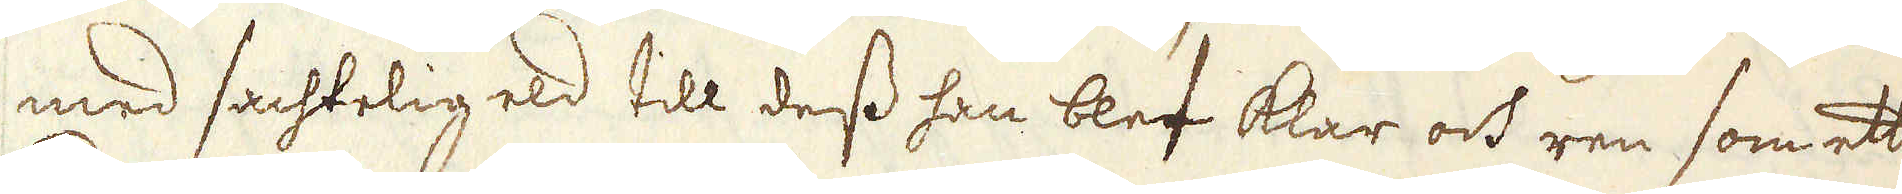med sachtelig eld till dess han blef klar och ren som ett
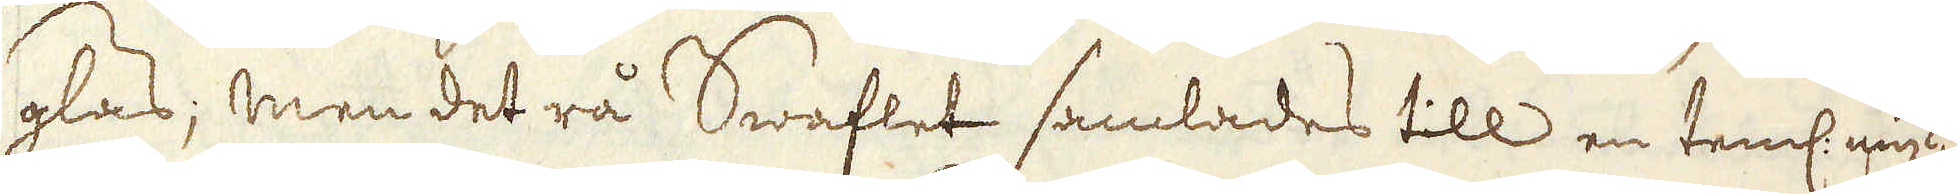glas; men det rå Swaflet samlades till en teml: myc-
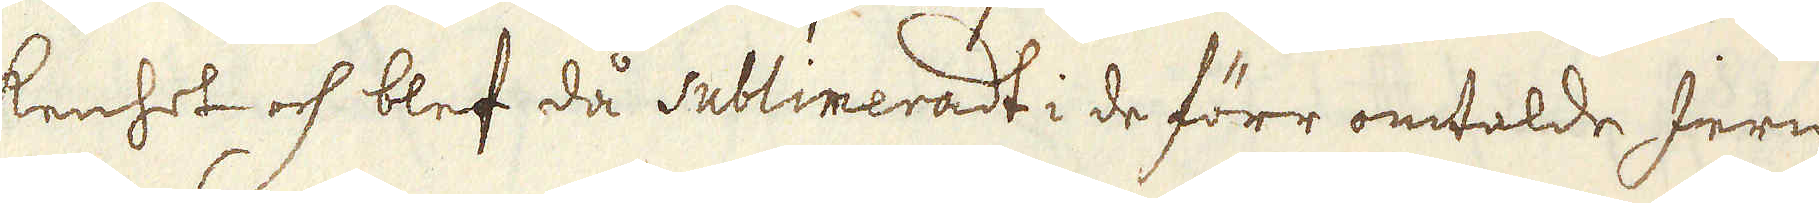kenhet och blef då sublimeradt i de förr omtalde Jern-
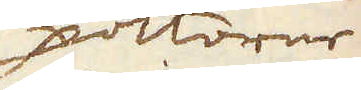pottorne
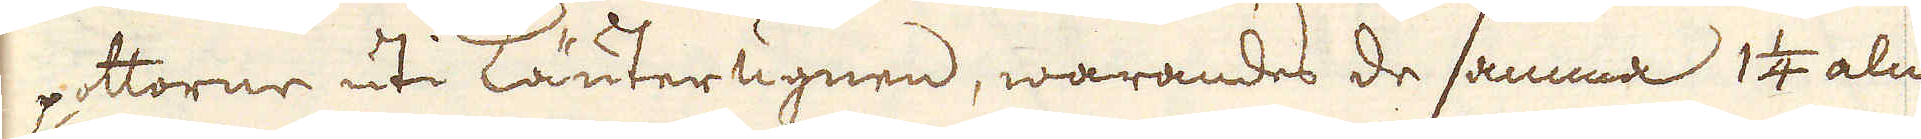pottorne uti Läuterugnen, warandes de samma 1 1/4 aln
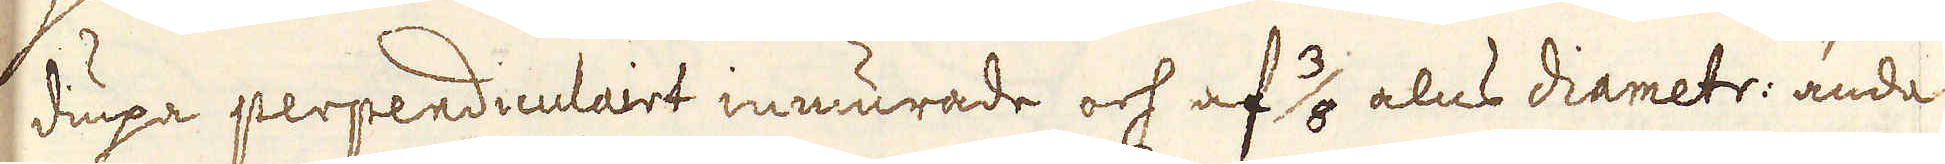diupa perpendiculairt inmurade och af 3/8 alns diametr: ända
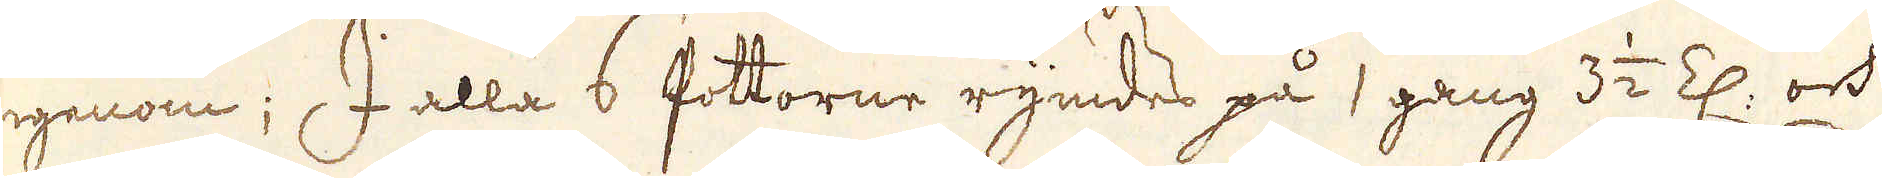igenom; I alla 6 Pottorne rymdes på 1 gång 3 1/2 Z: och
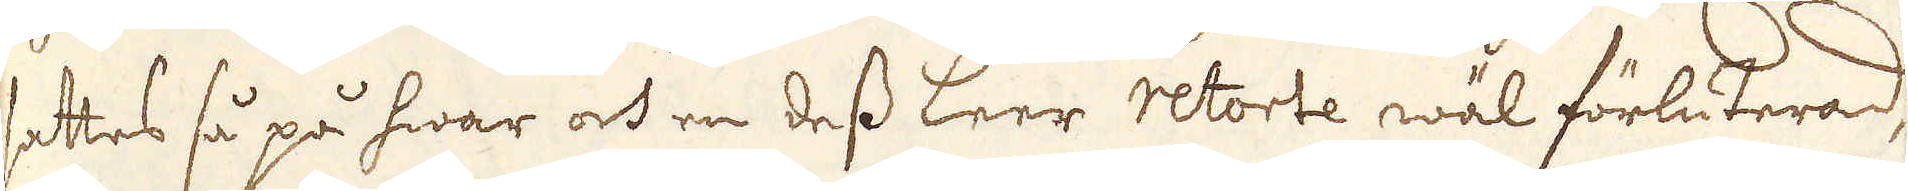sedtes så på hwar och en dess Leer retorte wäl förluterad,
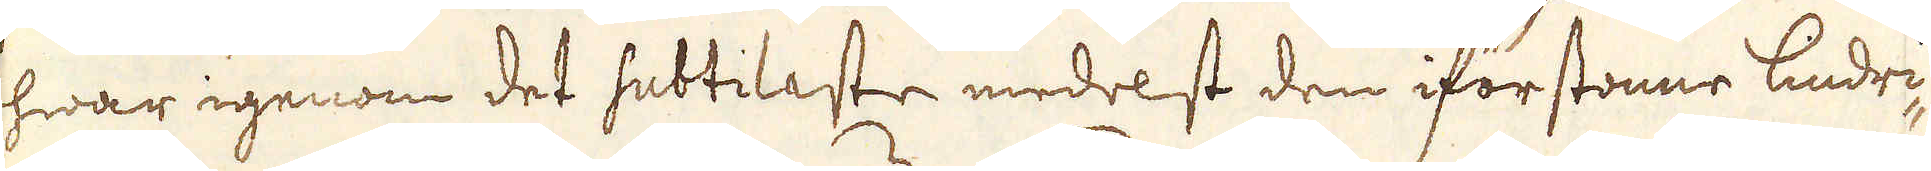hwar igenom det subtilaste medelst den iförstonne lindri-
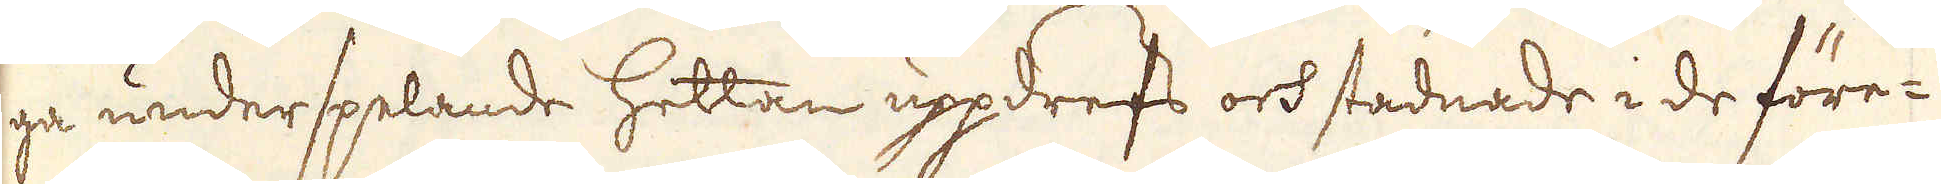ga underspelande hettan uppdrefs och stadnade i de före-
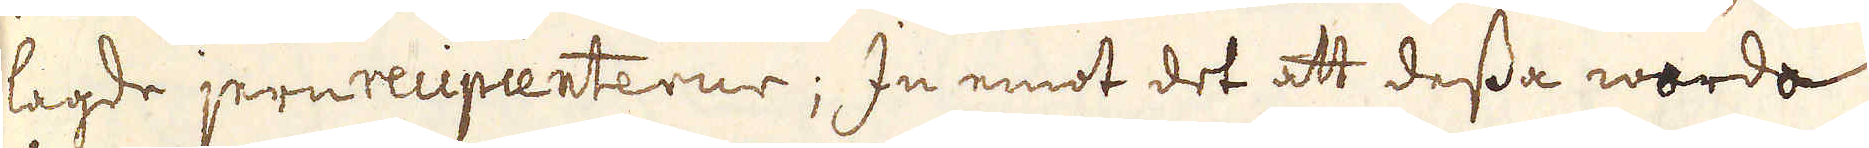lagde jernrecipienterne; In emot det att dessa worda
